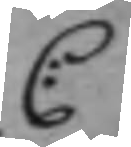C:
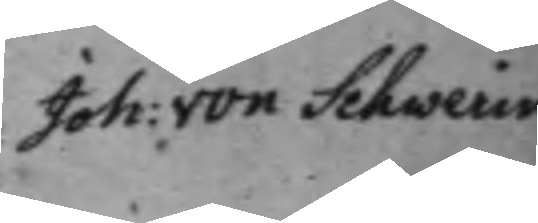Joh: von Schwerin
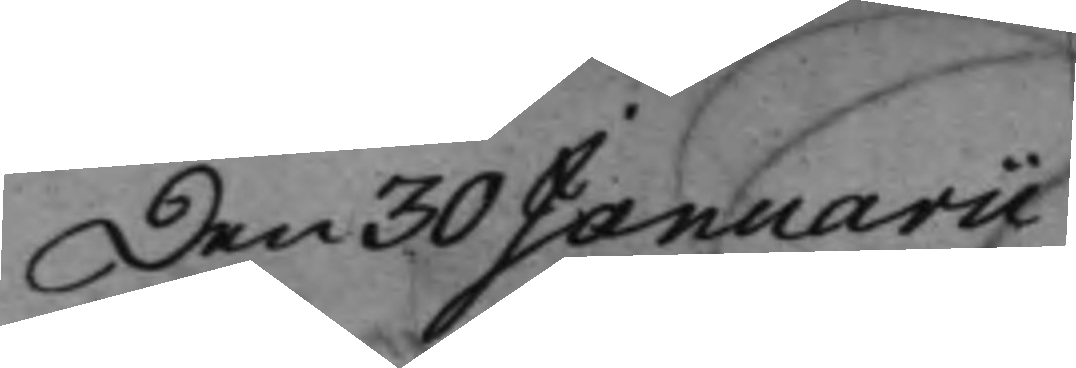den 30 Januarii
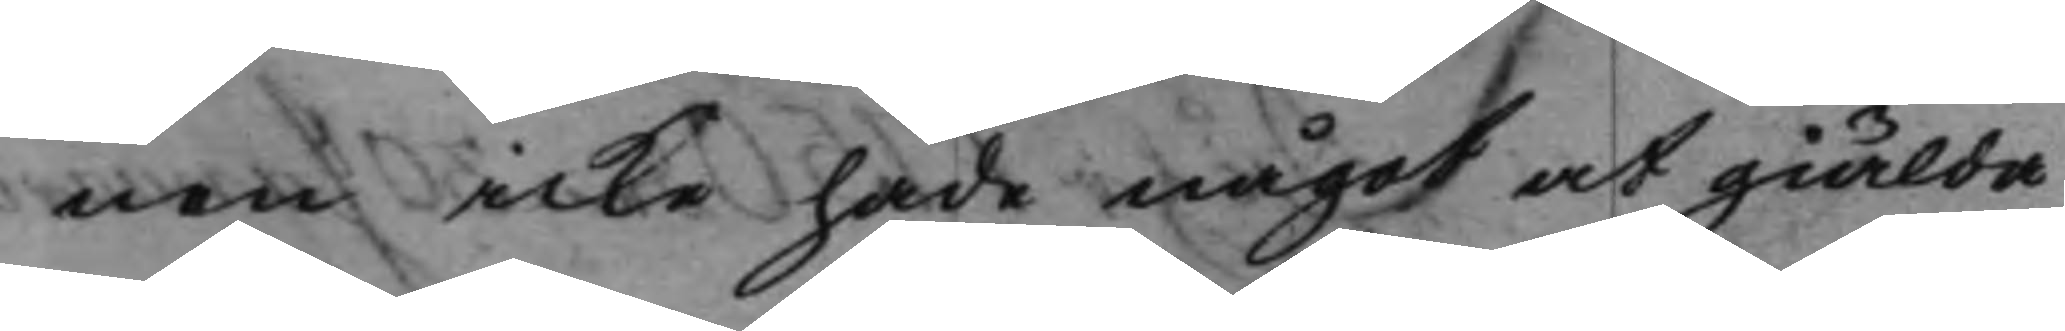nen icke hade något at giälda
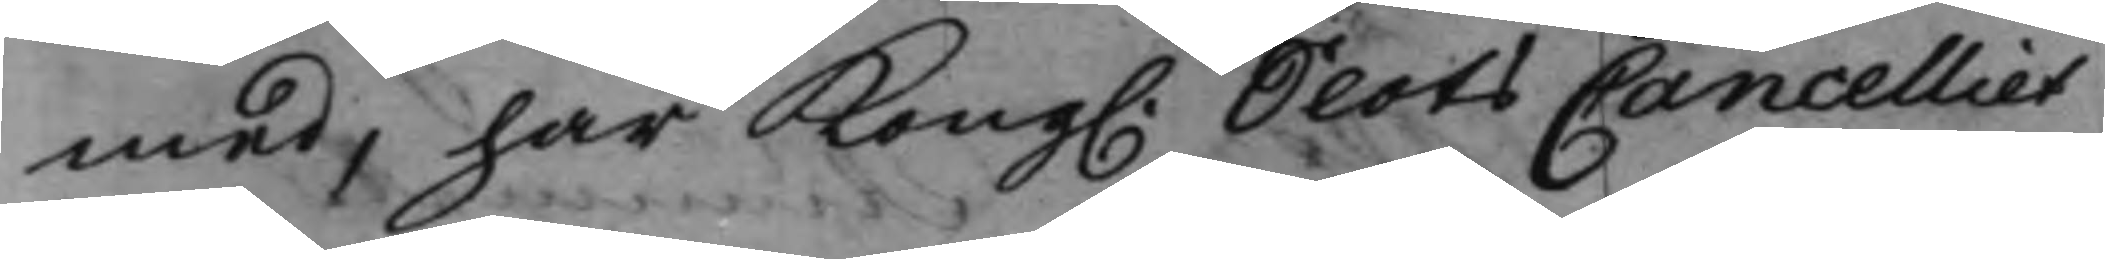med, har Kong. SlotsCancelliet 
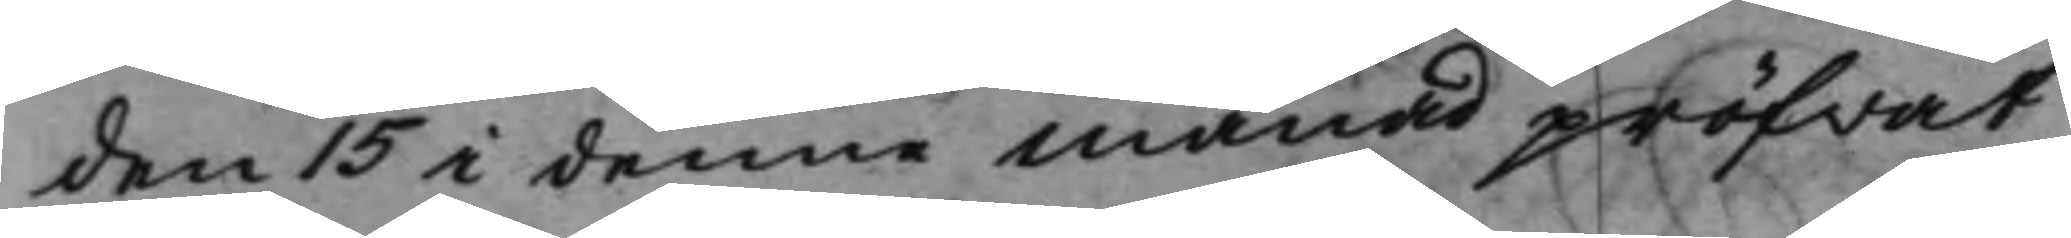den 15 i denna månad pröfwat
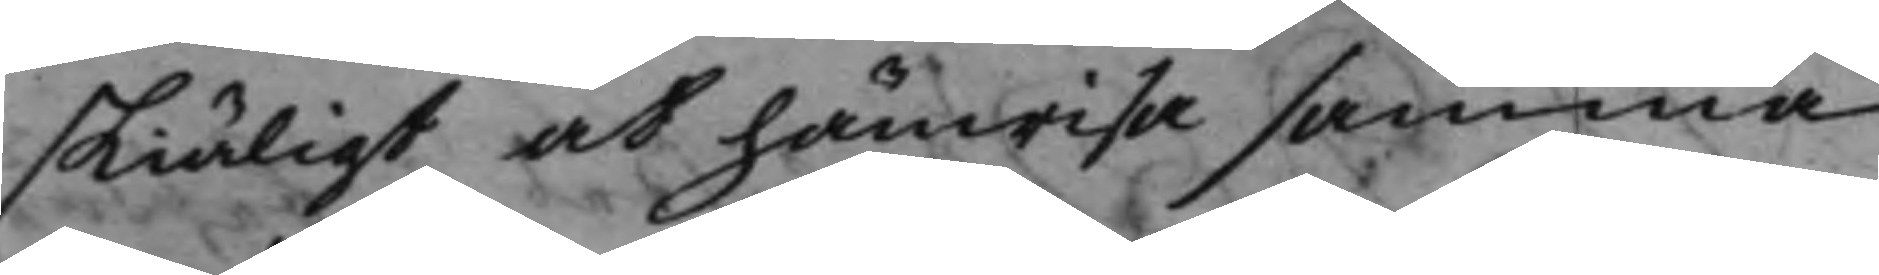skiäligt at hänwisa samma
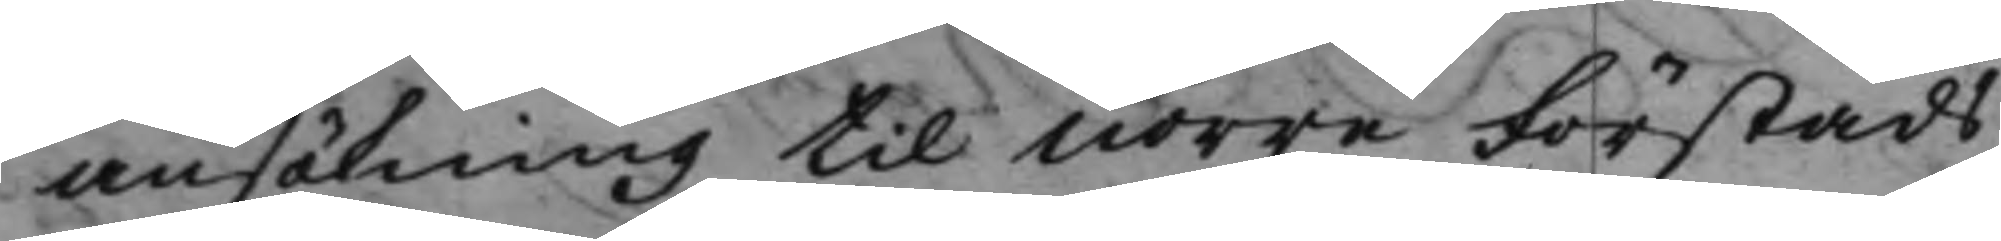ansökning till Norre Förstads
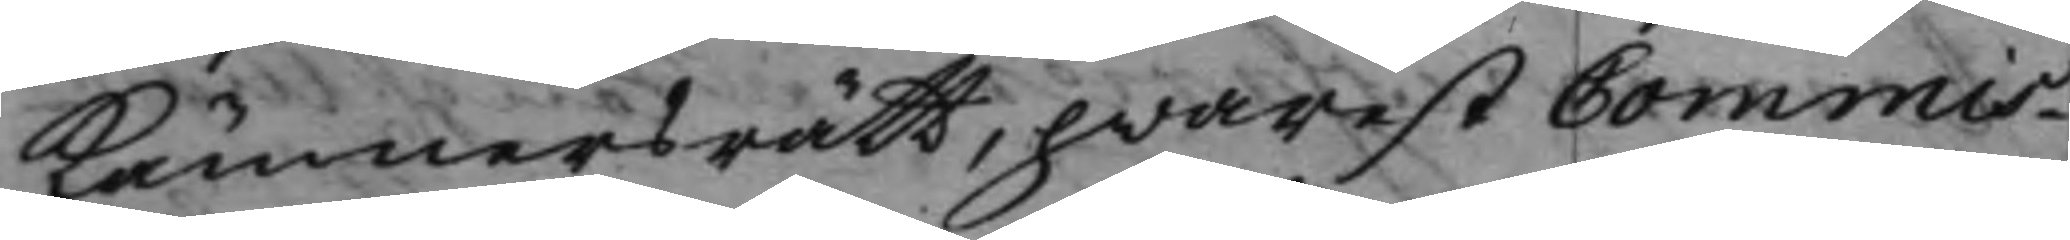Kämnersrätt, hwarest Commis¬
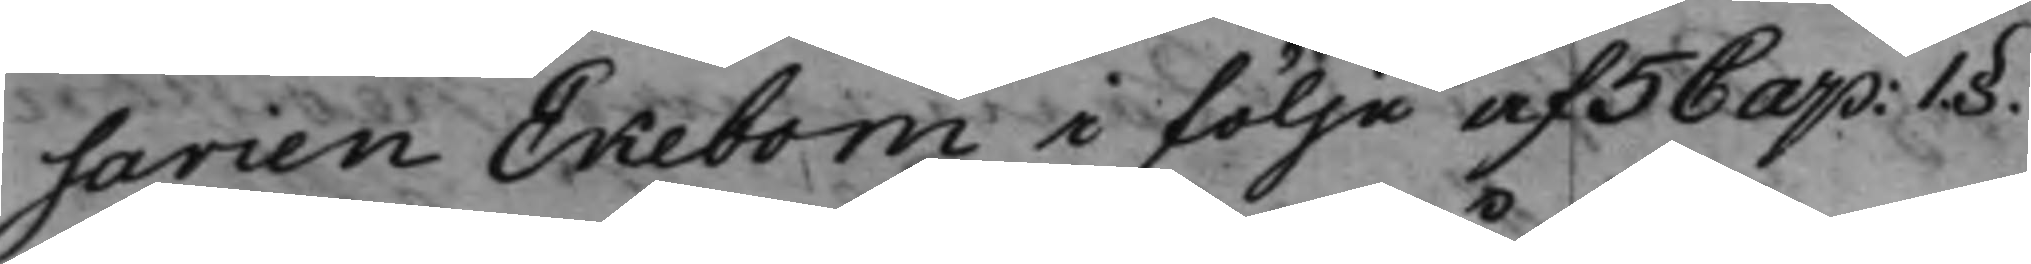sarien Ekebom i följe af 5 Cap: 1§.
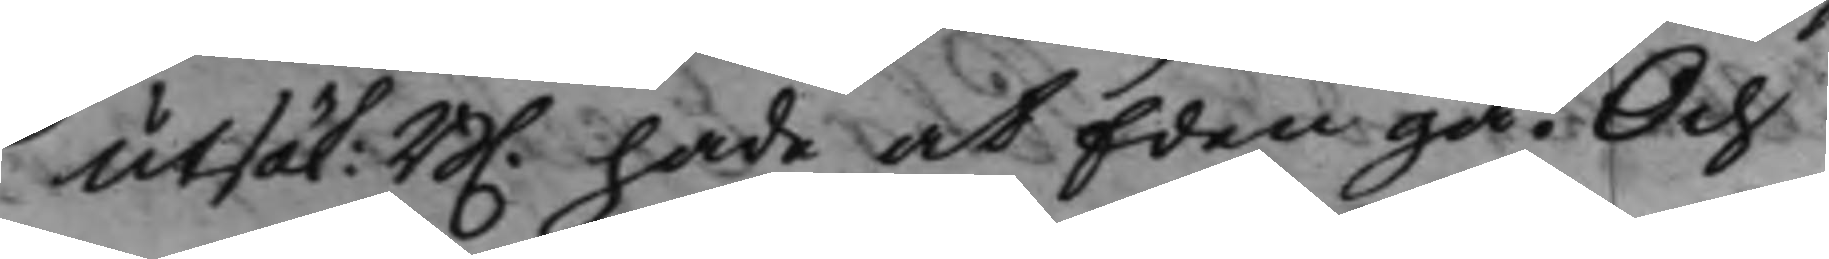Utsök: B. hade at Eden gå. Och
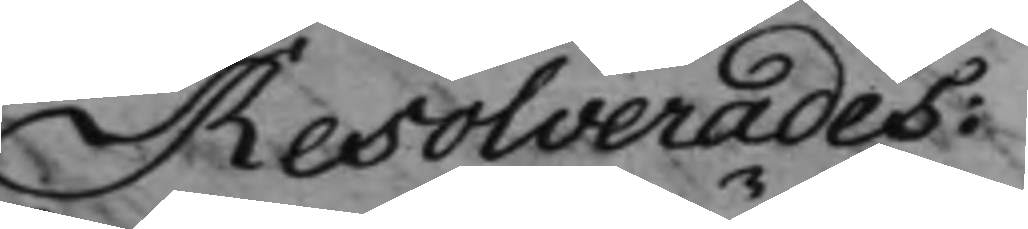Resolverades:
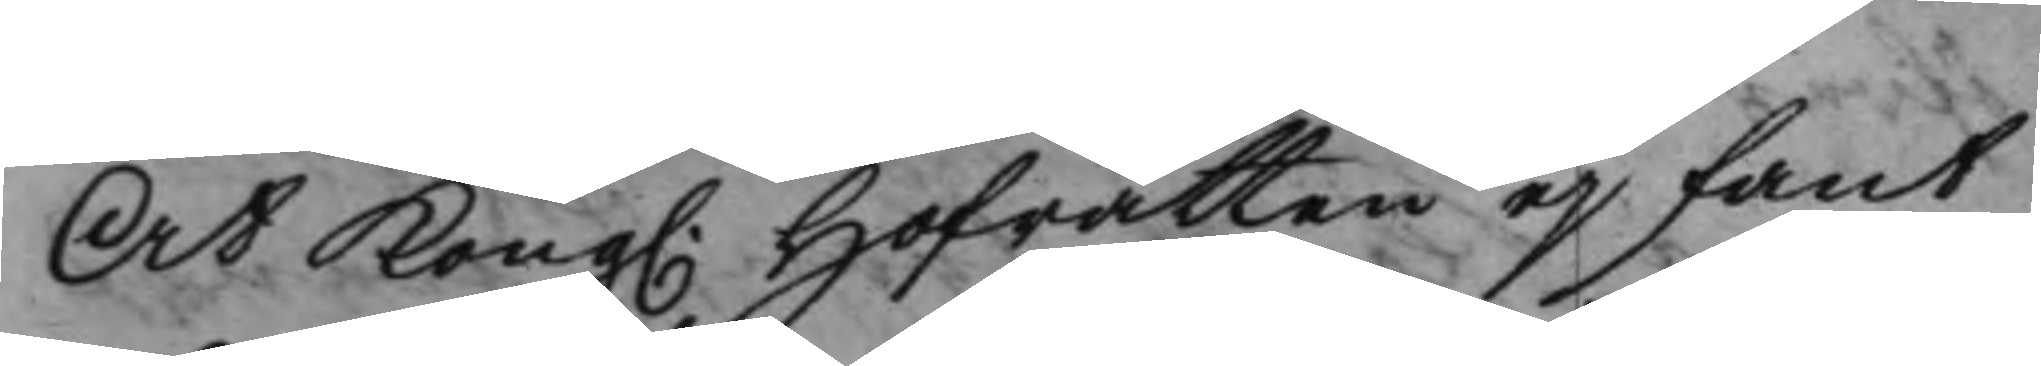At Kong. Hofrätten ej fant
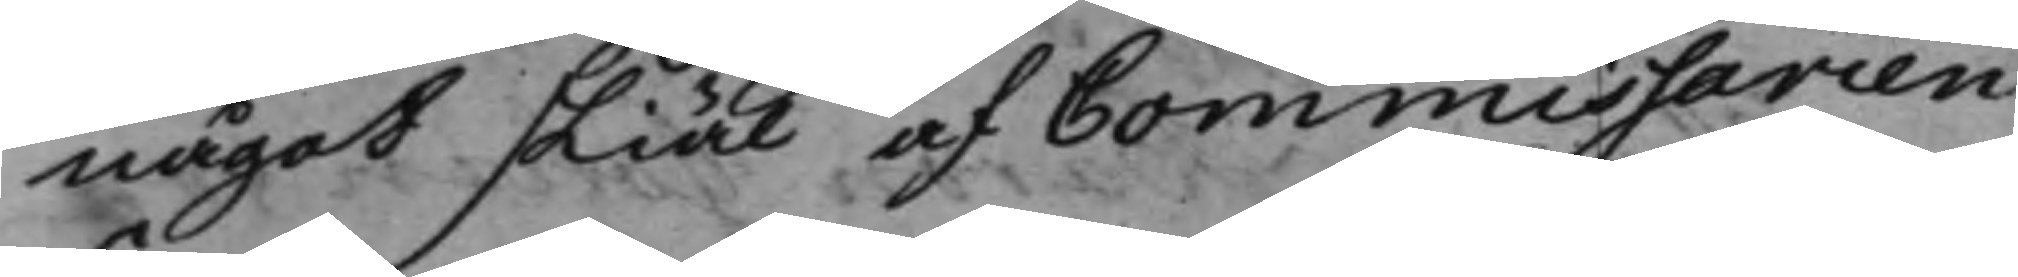något skiäl af Commissarien
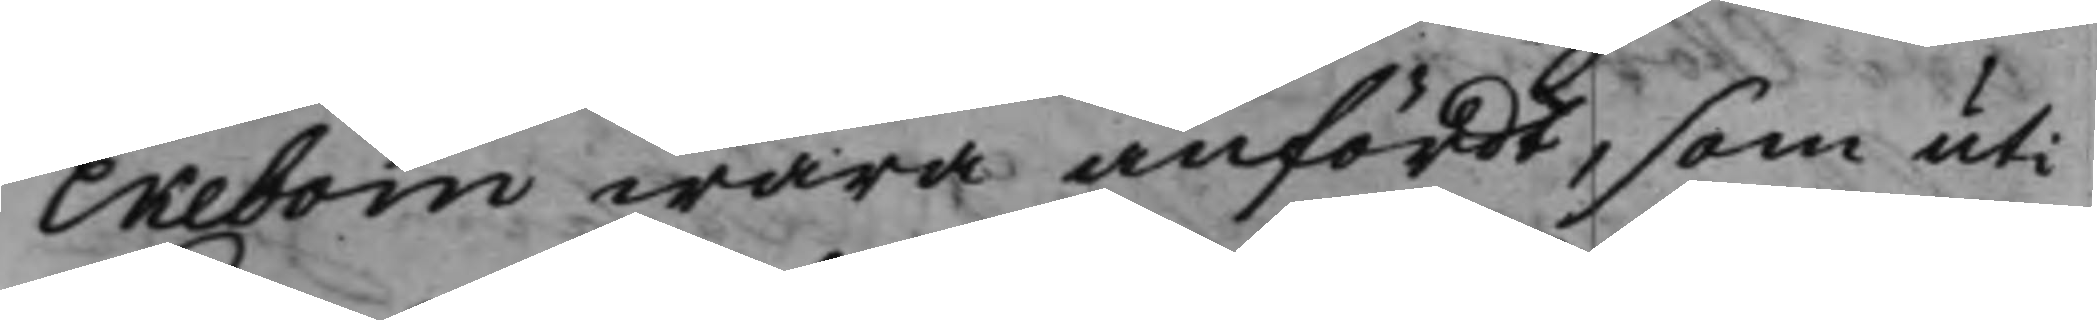Ekebom wara anfördt, som uti
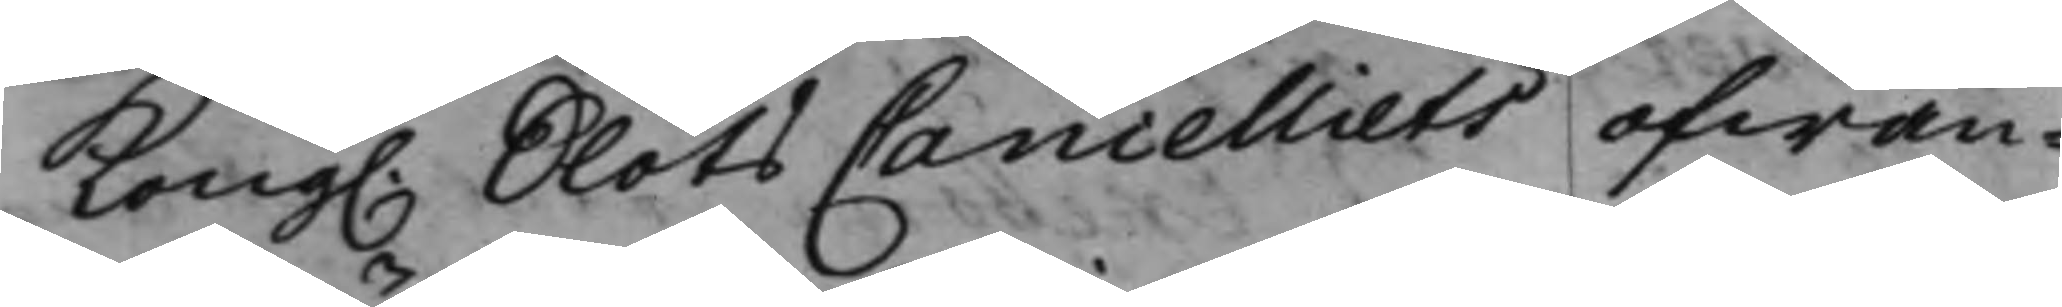Kong. SlotsCancelliets ofwan¬
